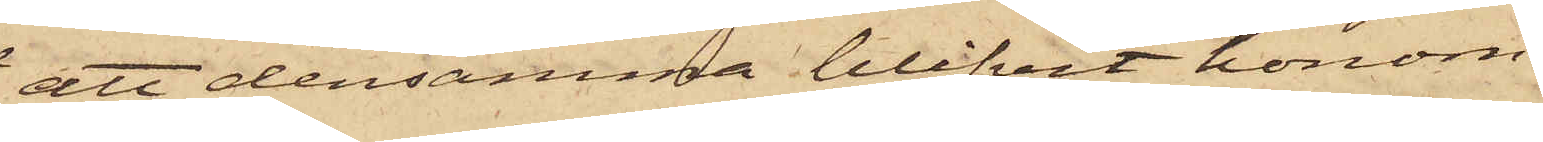att densamma blifvit honom
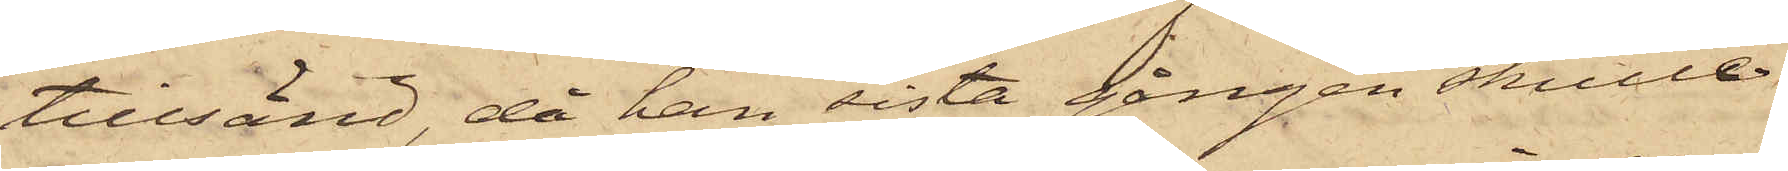tillsänd, då han sista gången skulle
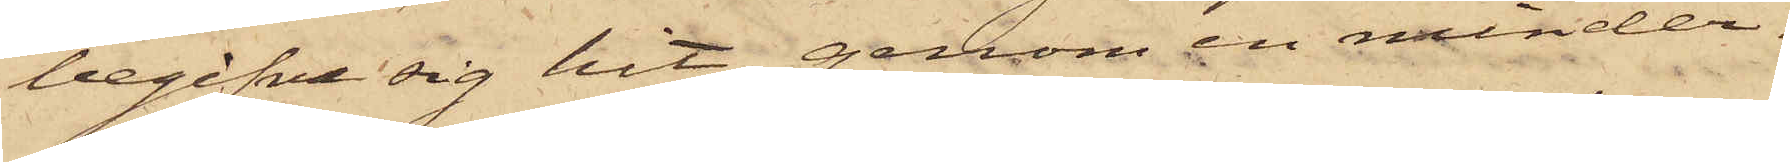begifva sig hit, genom en minder¬
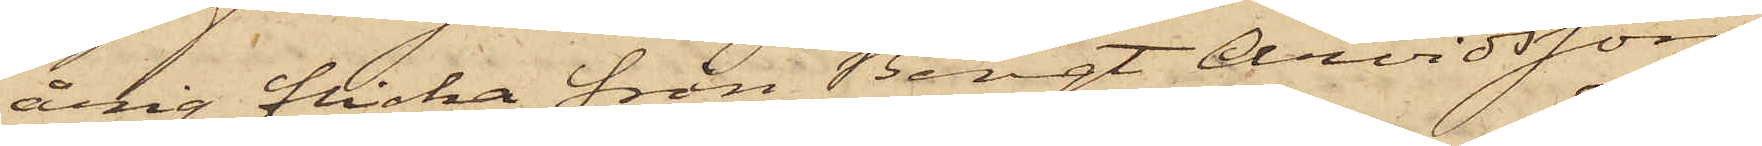årig flicka från Bengt Arvidsson,
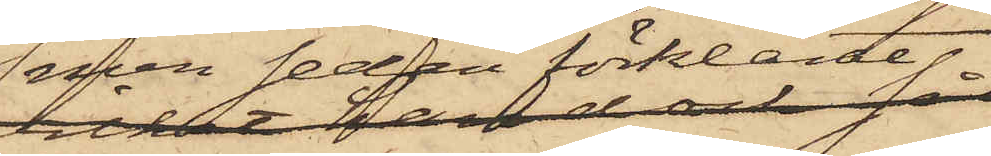men sedan förklarte
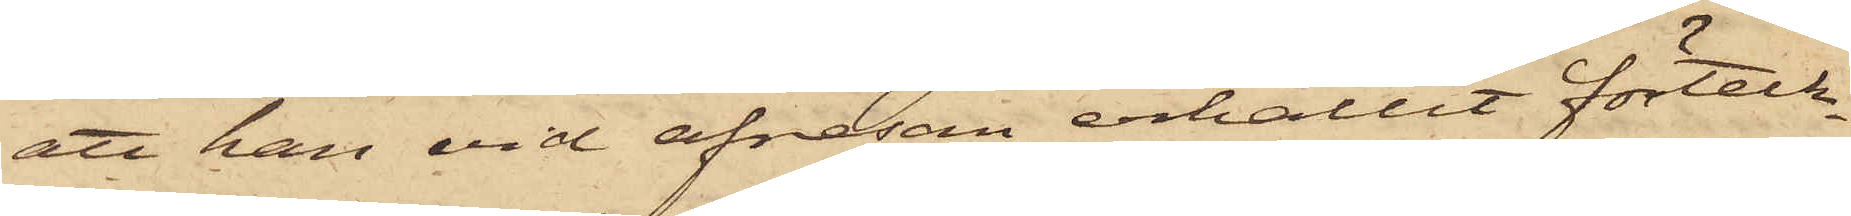att han vid afresan erhållit förteck¬
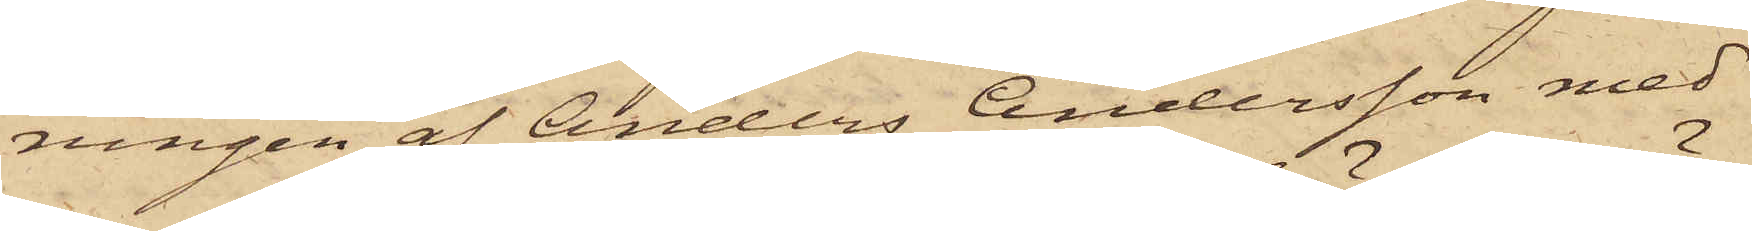ningen af Anders Andersson med
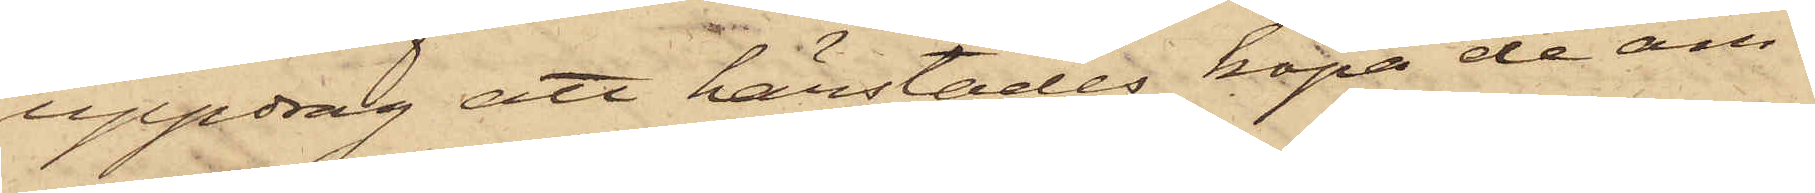uppdrag att härstädes köpa de äm¬
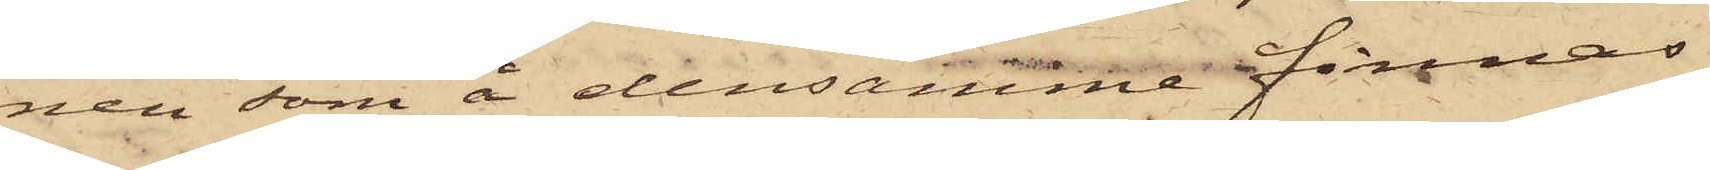nen som å densamma finnas
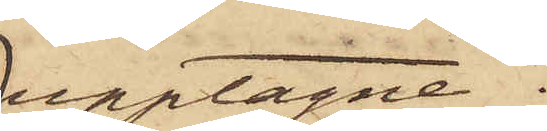upptagne.
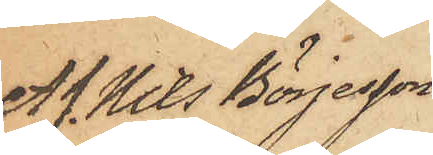Af. Nils Börjesson
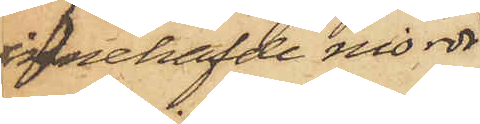innehafde nio rdr
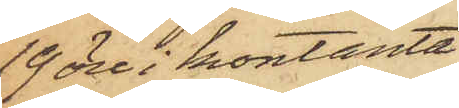19 öre i kontanta
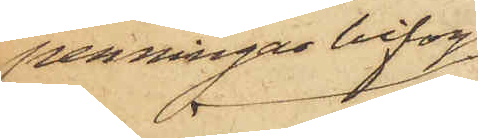penningas bifogas
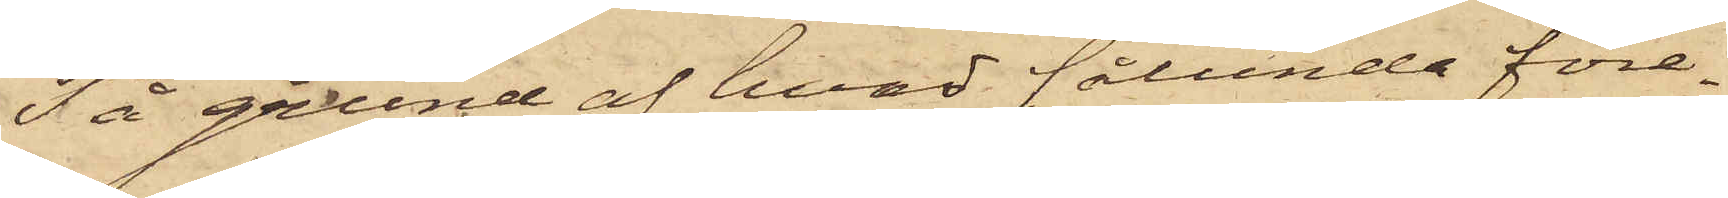På grund af hvad sålunda före¬
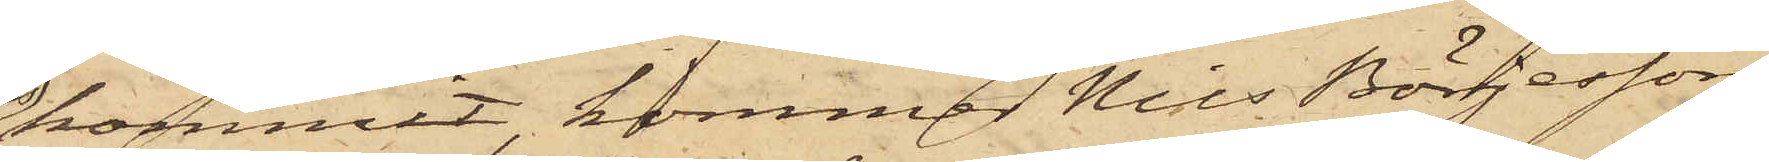kommit, kommer Nils Börjesson,
